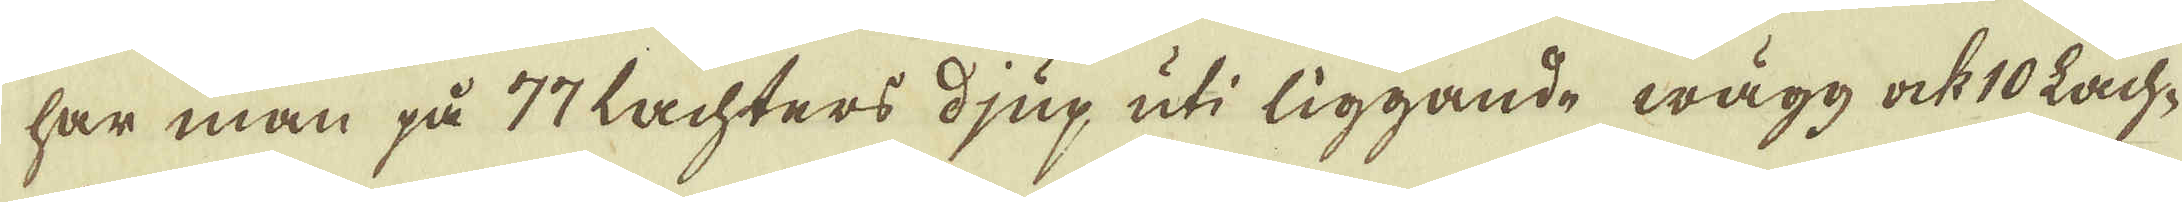har man på 77 lachters djup uti liggande wägg ock 10 Lach-
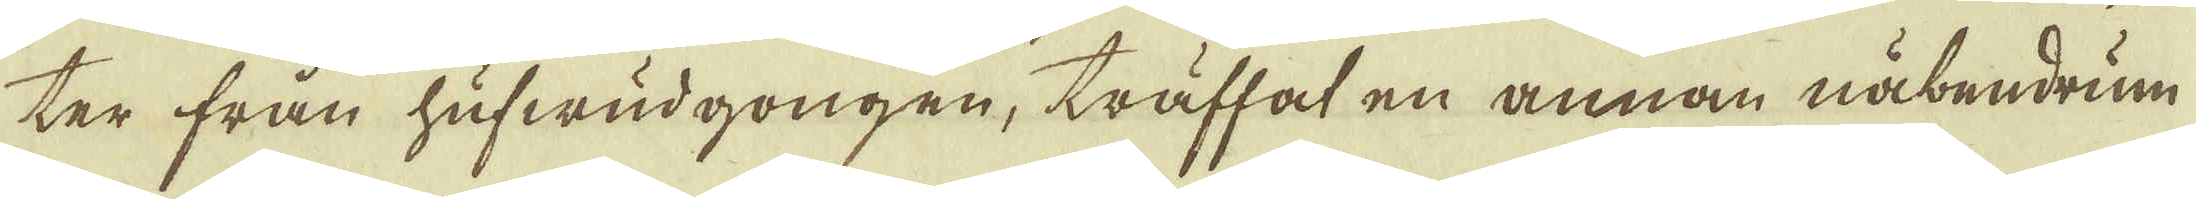ter från hufwudgongen, träffat en annan näbendrum
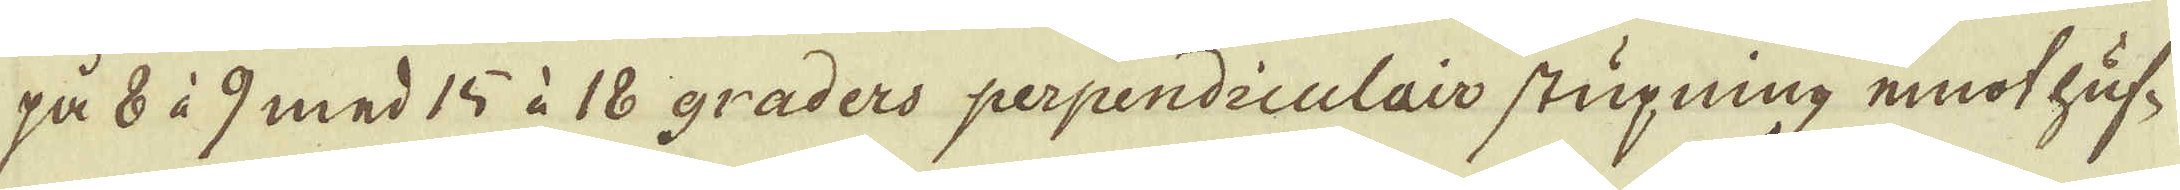på 8 à 9 med 15 à 18 graders perpendiculair stupning emot huf-
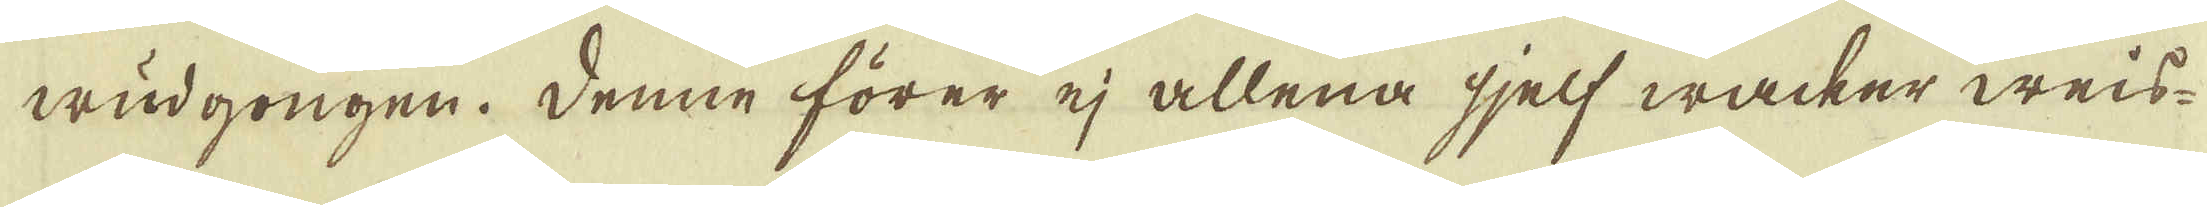wudgongen. Denne förer ej allena sjelf wacker weis-
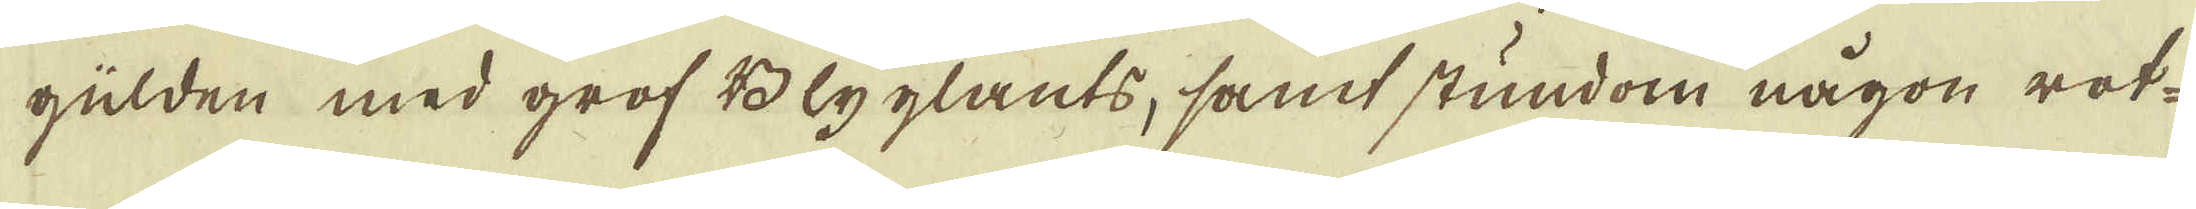gülden med grof Blyglants, samt stundom någon rot-
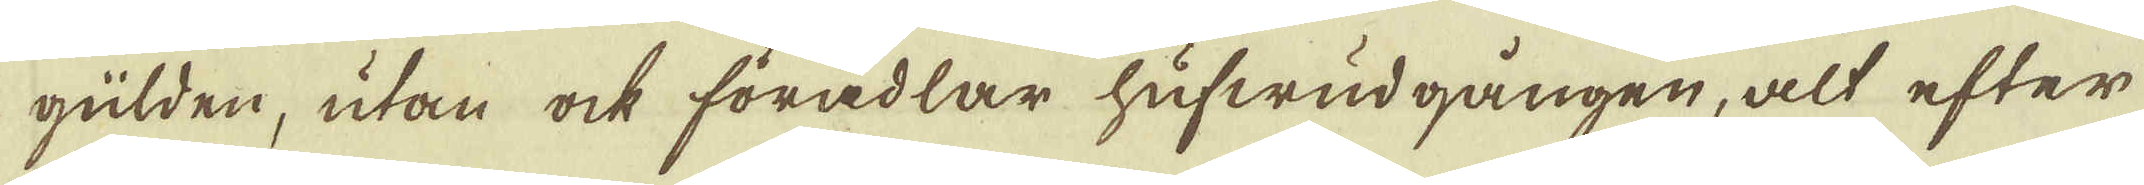gülden, utan ock förädlar hufwudgången, alt efter
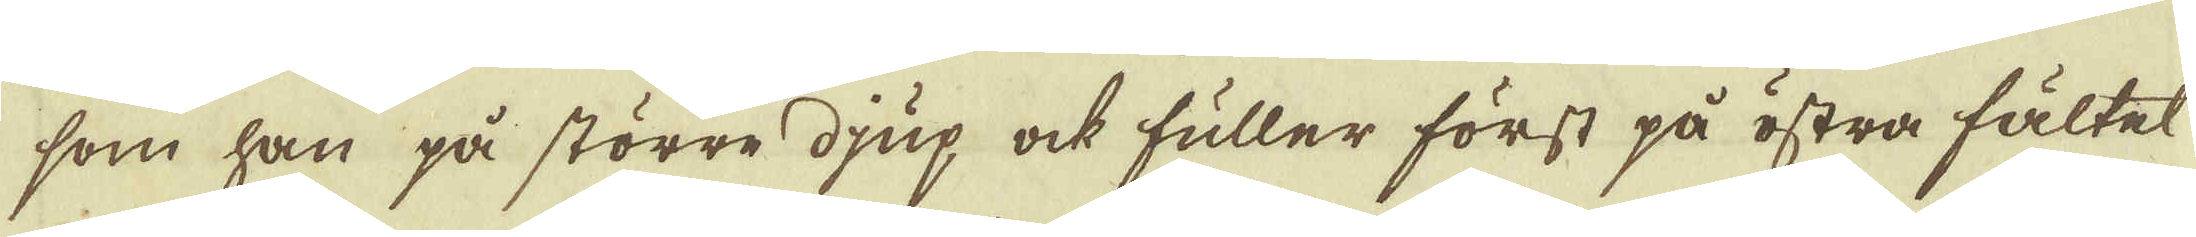som han på större djup ock fuller först på östra fältet
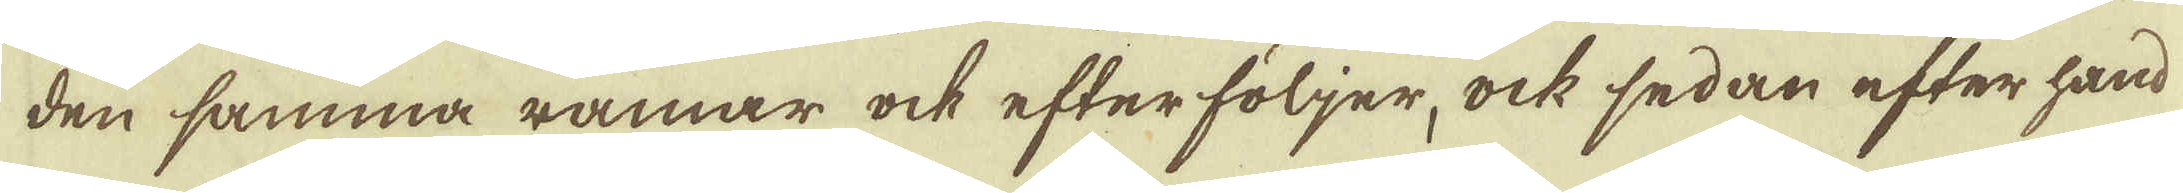den samma ramar ock efterföljer, ock sedan efter hand
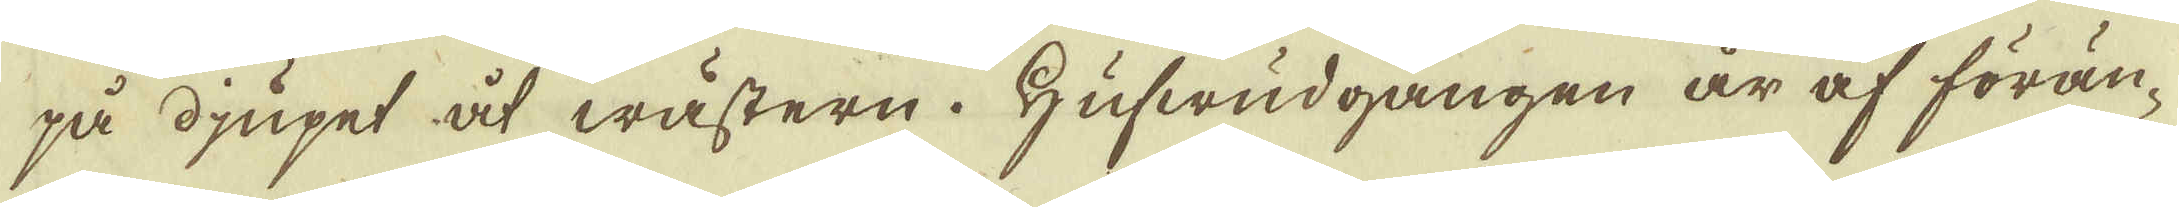på djupet åt wästern. Hufwudgången är af förän-
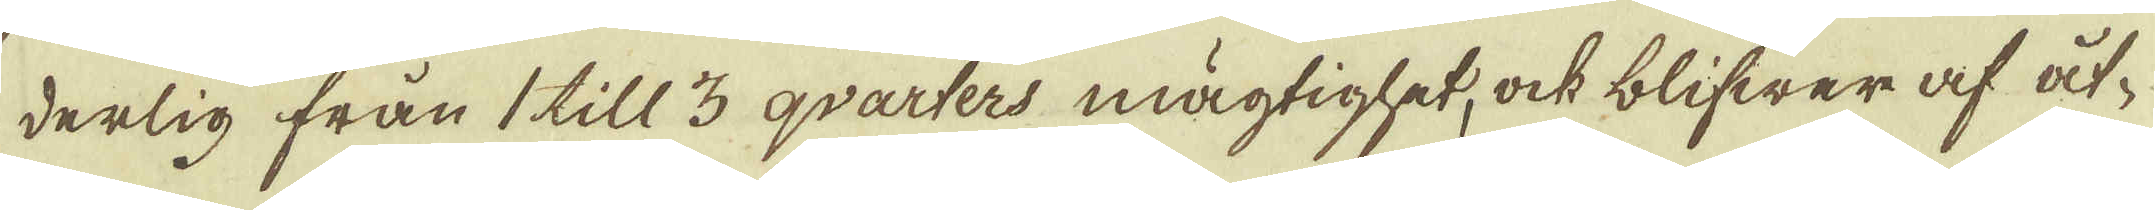derlig från 1 till 3 qvarters mägtighet, ock blifwer af åt-
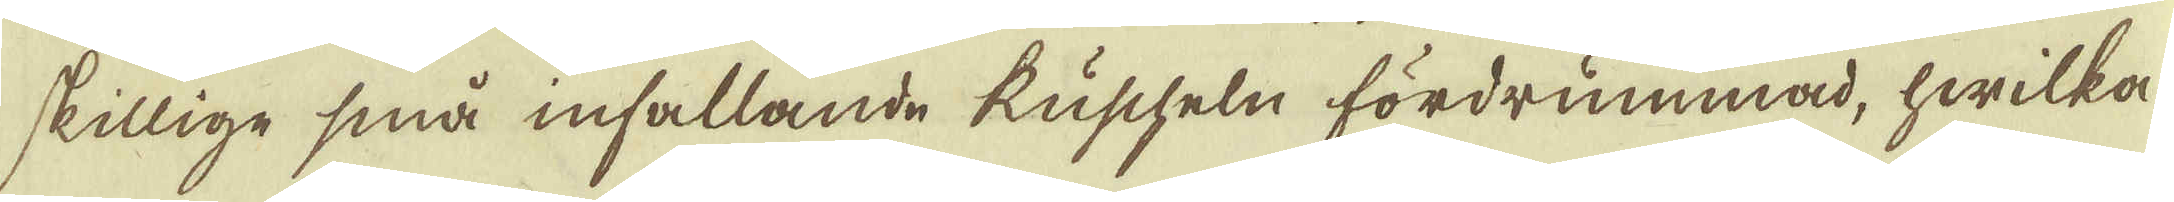skillige små infallande kuscheln fördrummad, hwilka
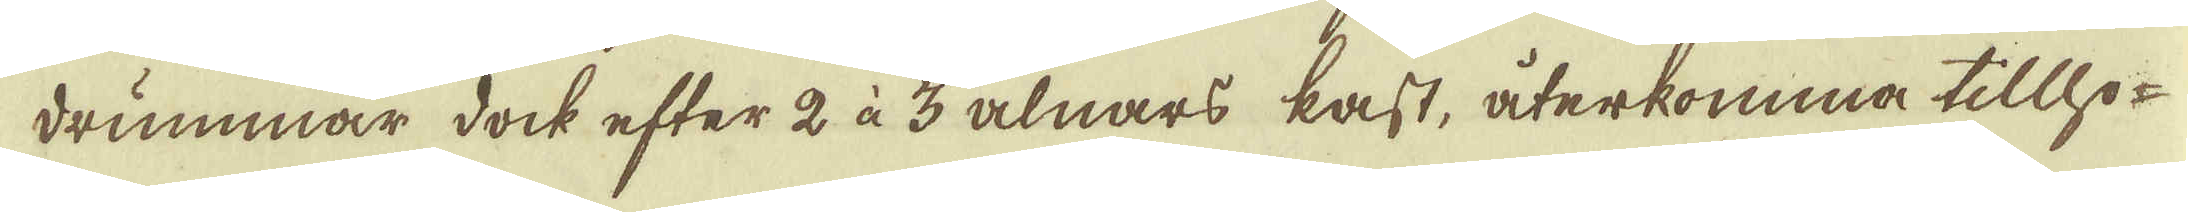drummar dock efter 2 à 3 alnars kast, återkomma tillho-
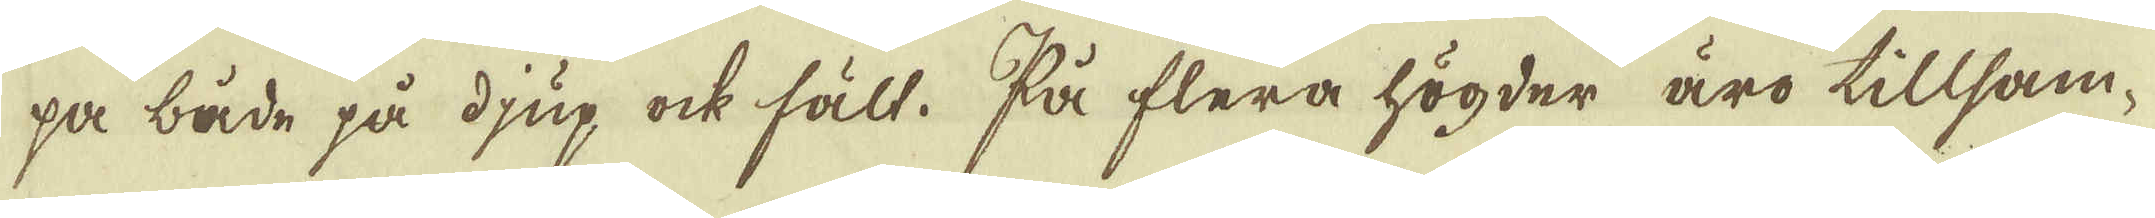pa både på djup ock fält. På flera högder äro tillsam-
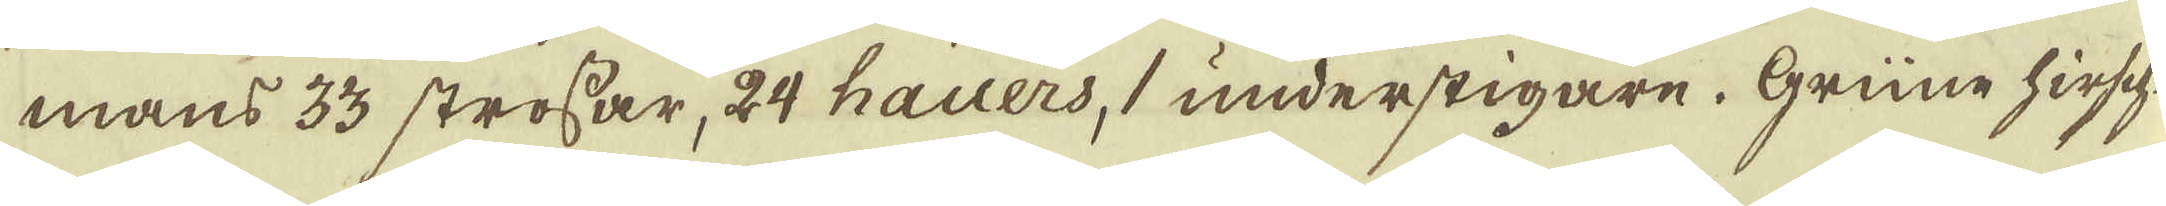mans 33 strossar, 24 hauers, understigare. Grüne hirsch-
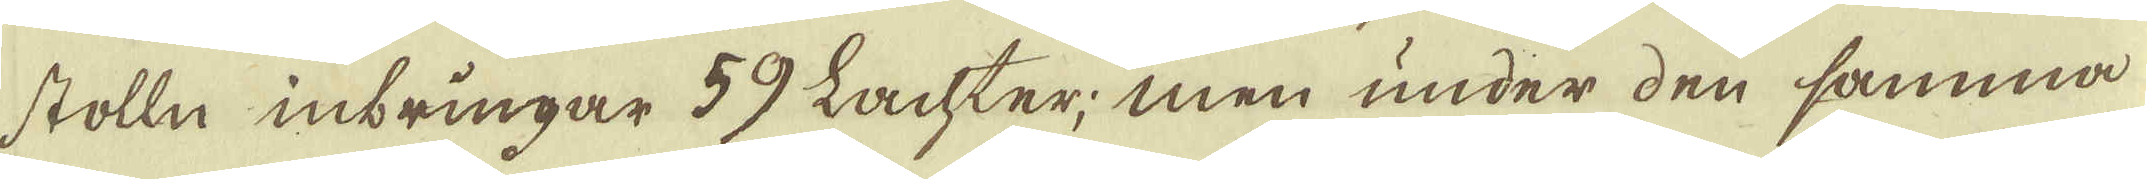stolln inbringar 59 Lachter; men under den samma
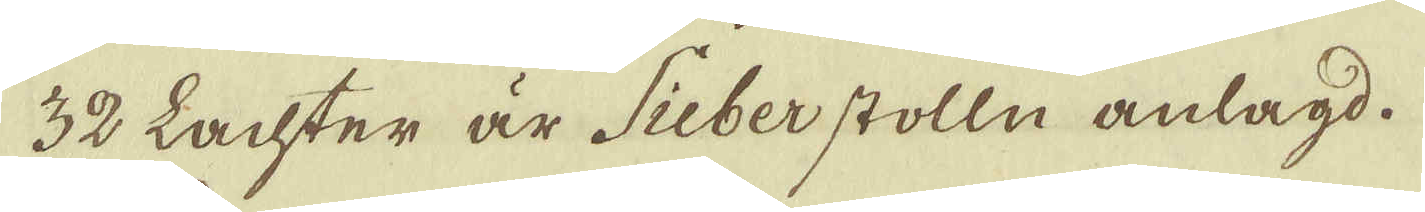32 Lachter är Sieberstolln anlagd.
